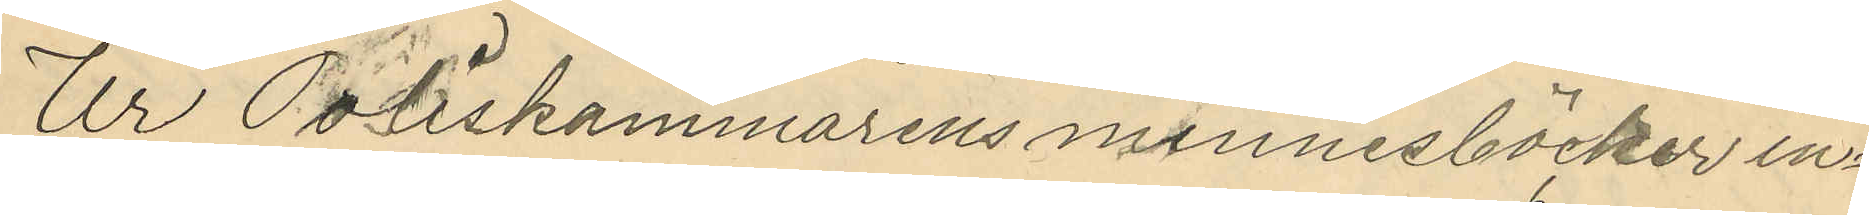Ur Poliskammarens minnesböcker in¬
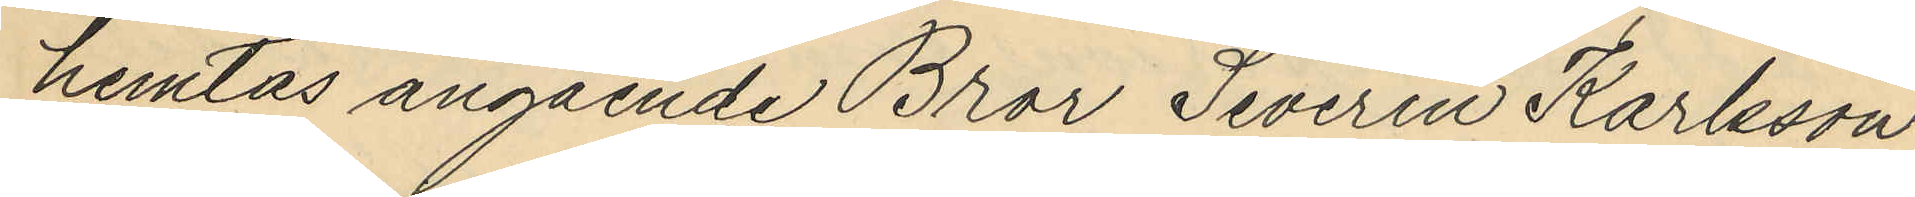hemtas angående Bror Severin Karlsson
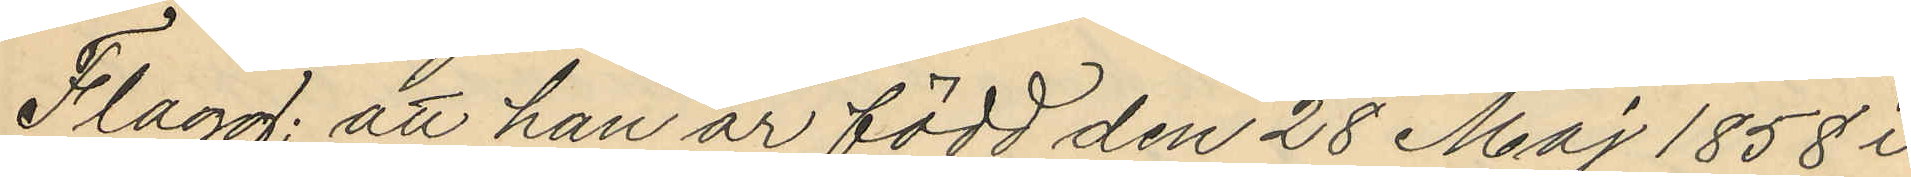Flagg; att han är född den 28 Maj 1858 i
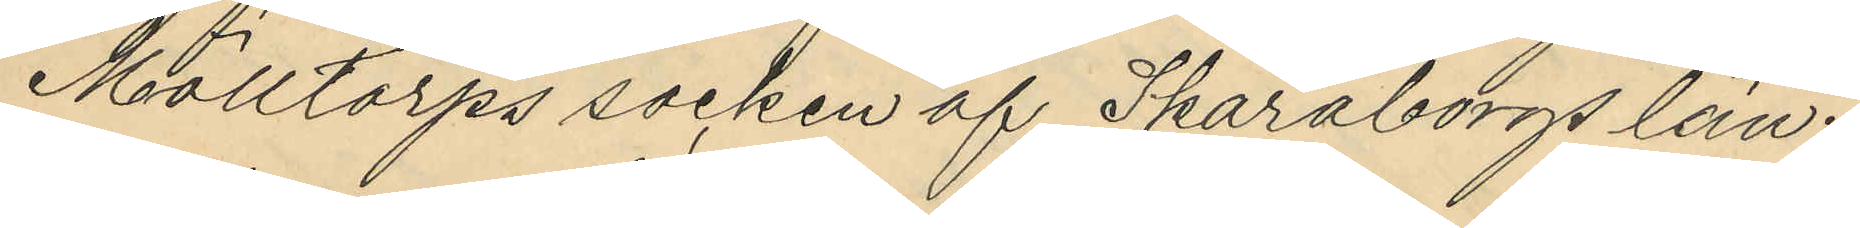Mölltorps socken af Skaraborgs län.
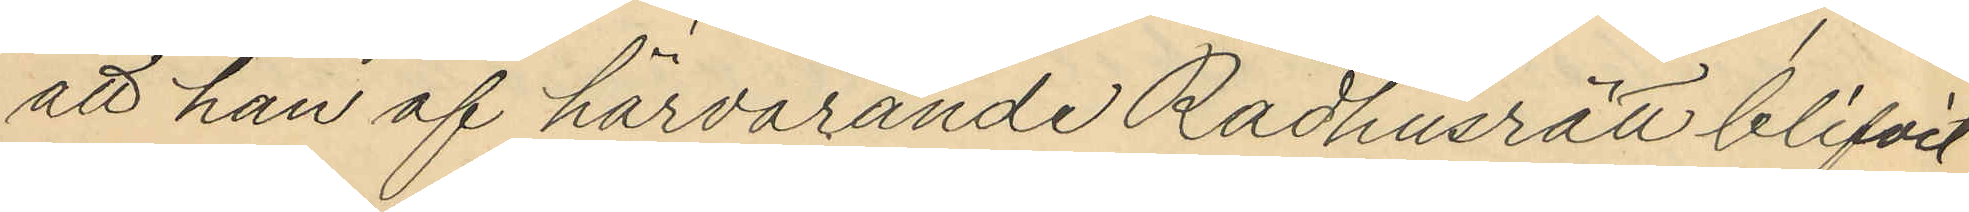att han af härvarande Rådhusrätt blifvit
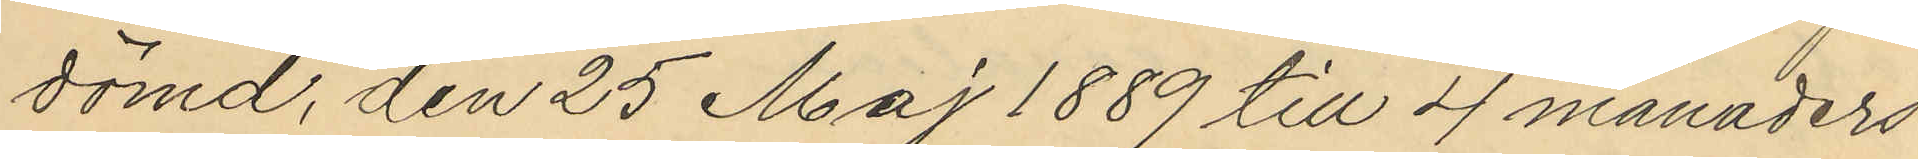dömd, den 25 Maj 1889 till 4 månaders
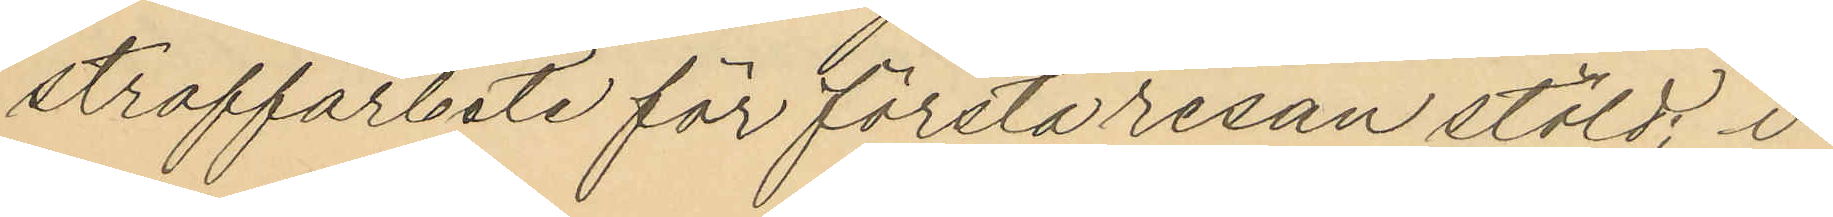straffarbete för första resan stöld, i
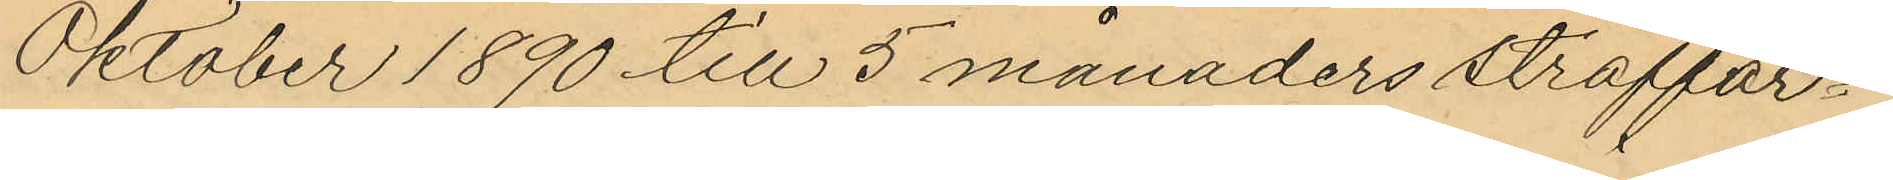Oktober 1890 till 5 månaders straffar¬
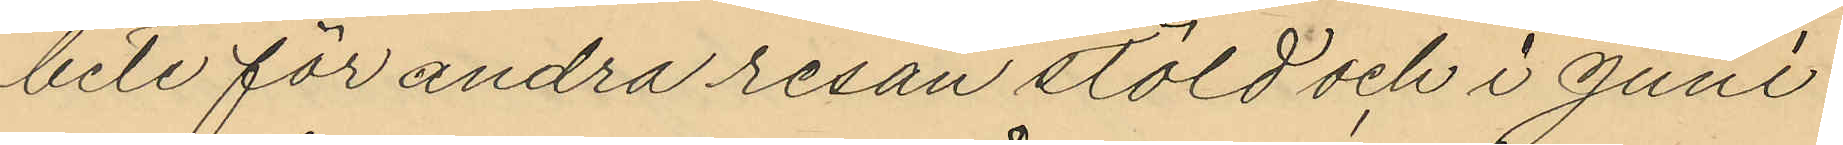bete för andra resan stöld och i juni
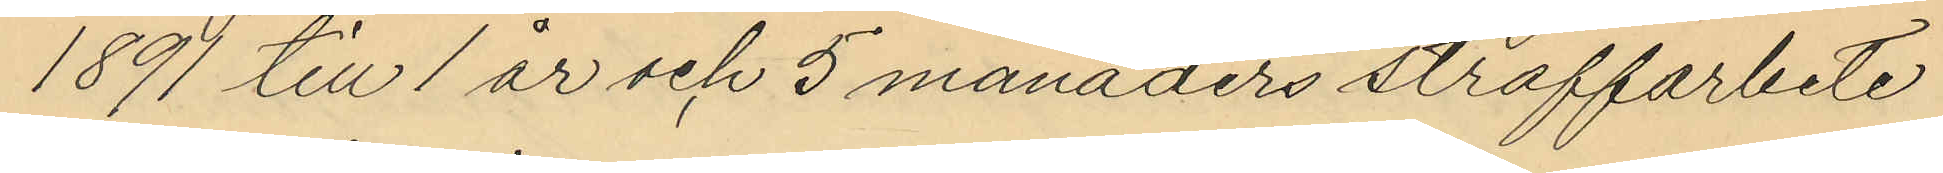1891 till 1 år och 5 månaders straffarbete
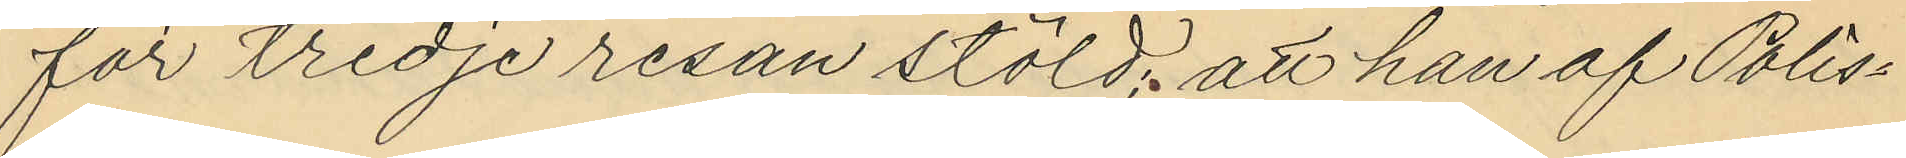för tredje resan stöld; att han af Polis¬
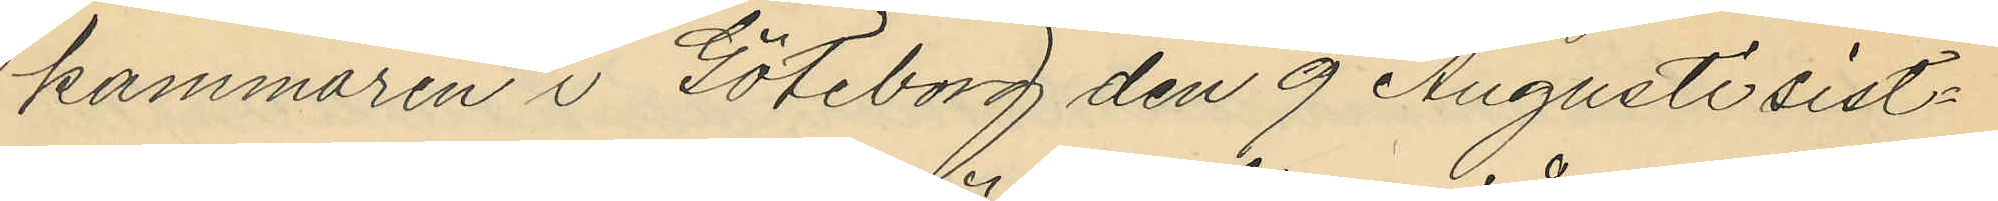kammaren i Göteborg den 9 Augusti sist¬
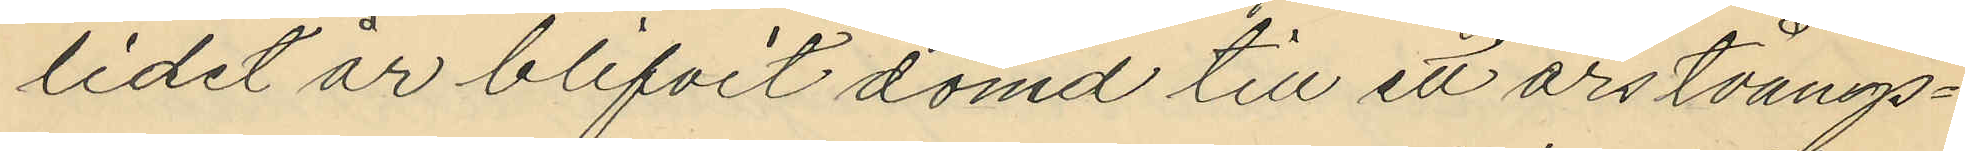lidet år blifvit dömd till ett års tvångs¬
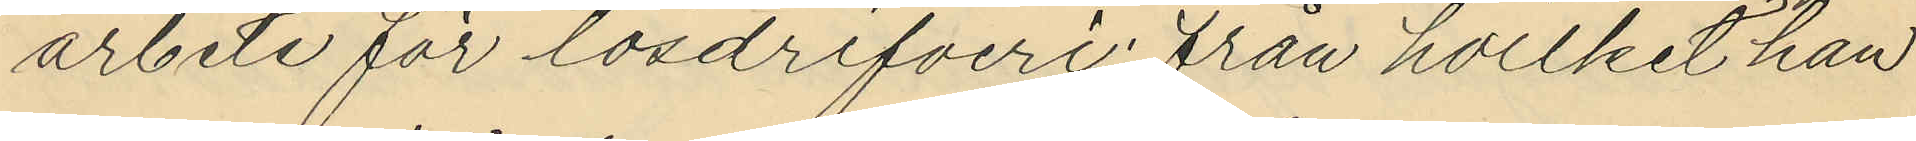arbete för lösdrifveri; från hvilket han
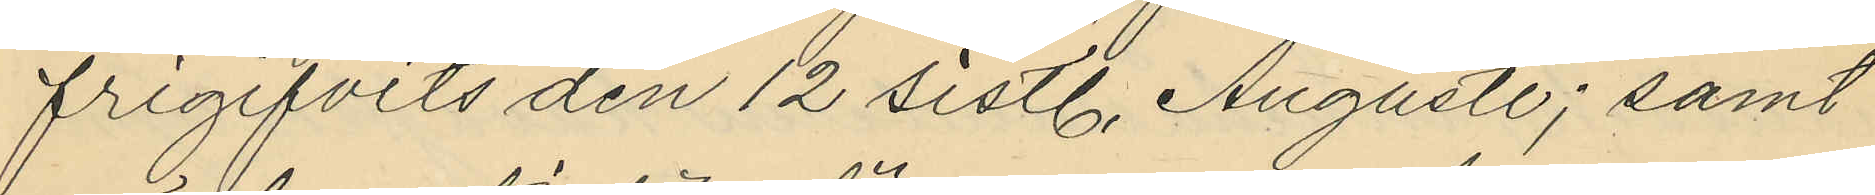frigifvits den 12 sistl. Augusti; samt
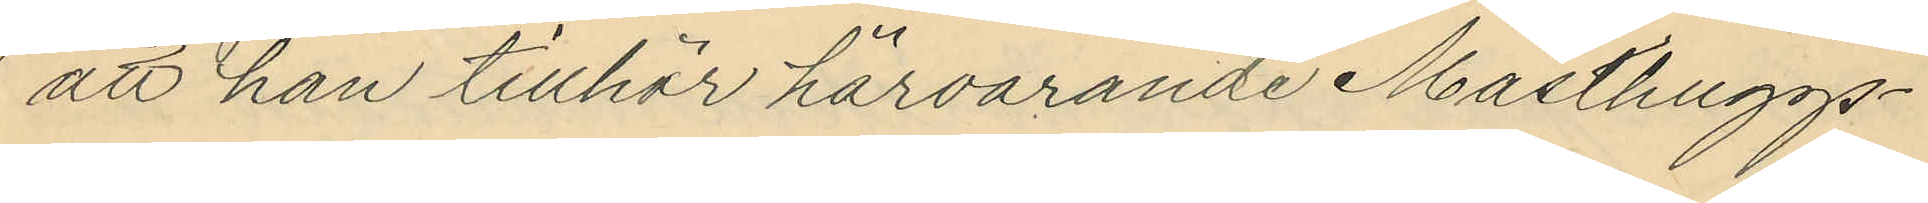att han tillhör härvarande Masthuggs¬
